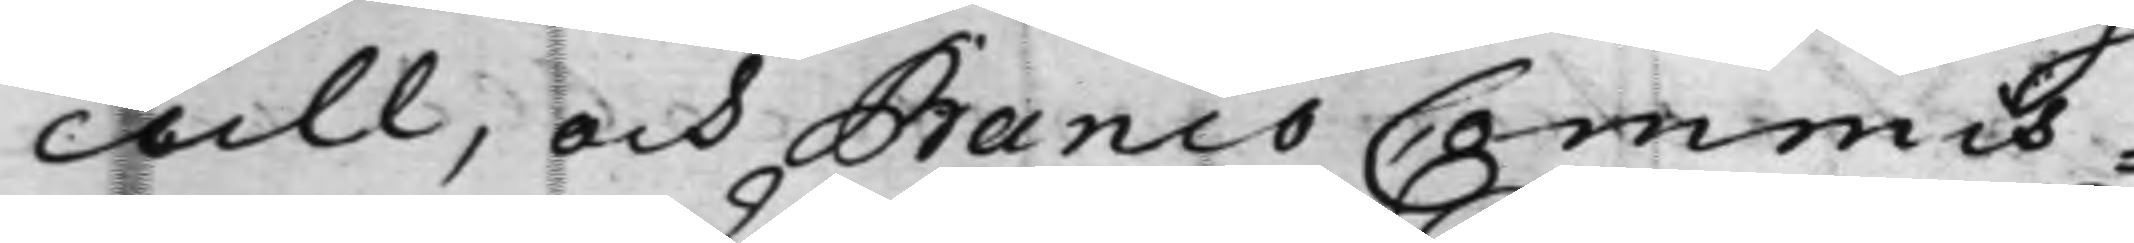cull, och Banco Commis¬
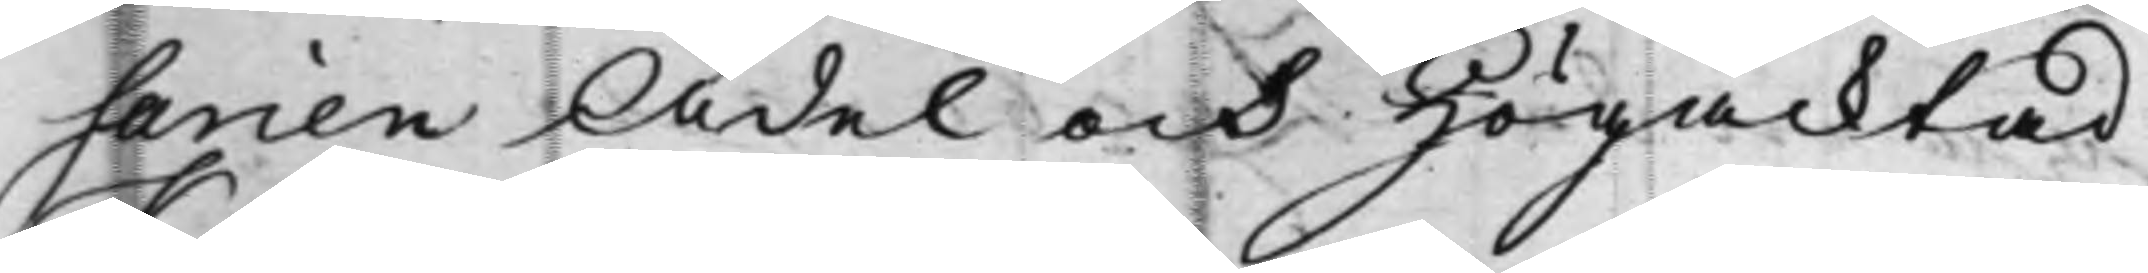sarien Ädel och Högacktad
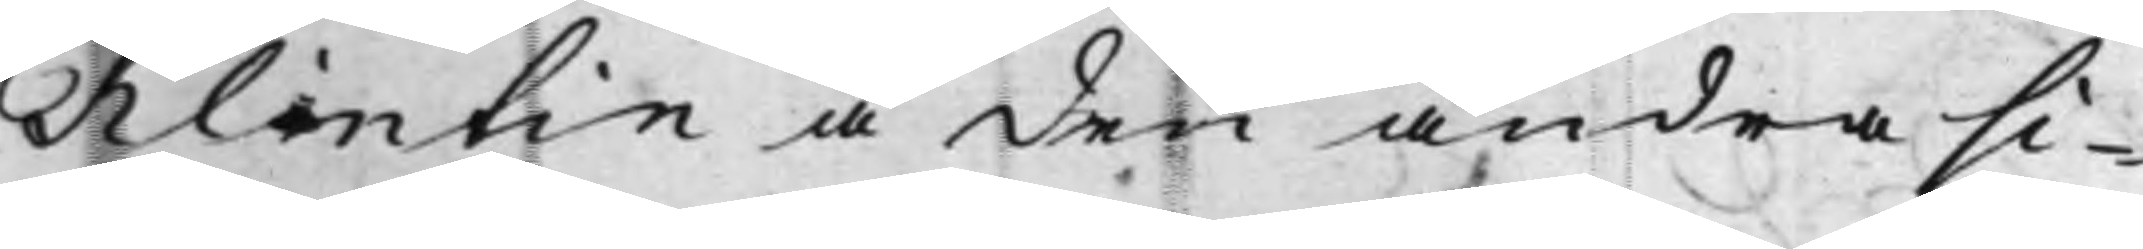Klintin å den andra si¬
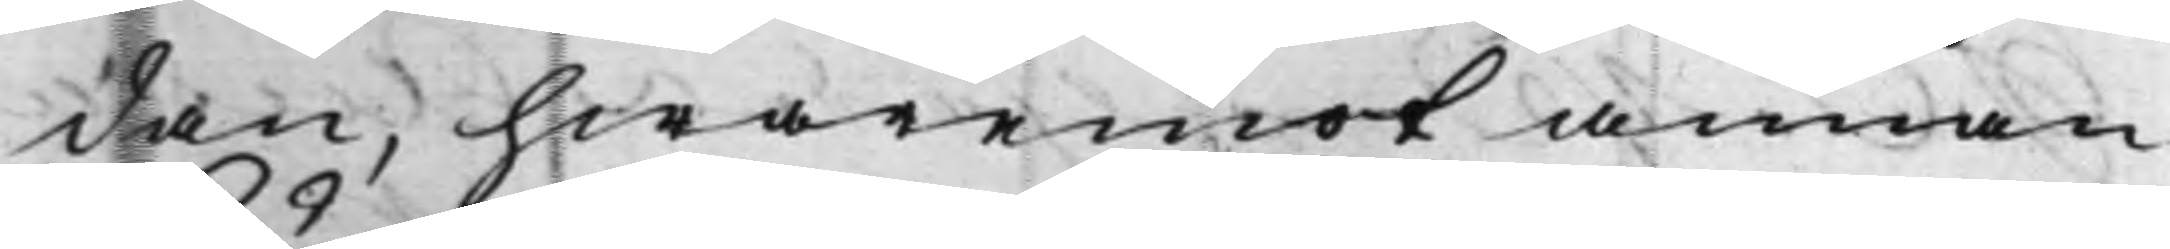dan, hwaremot annan
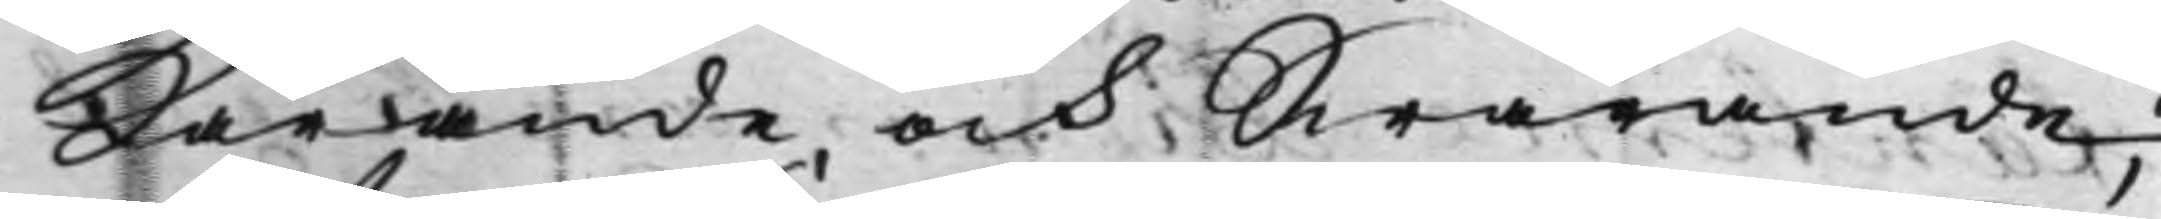Kärande, och Swarande;
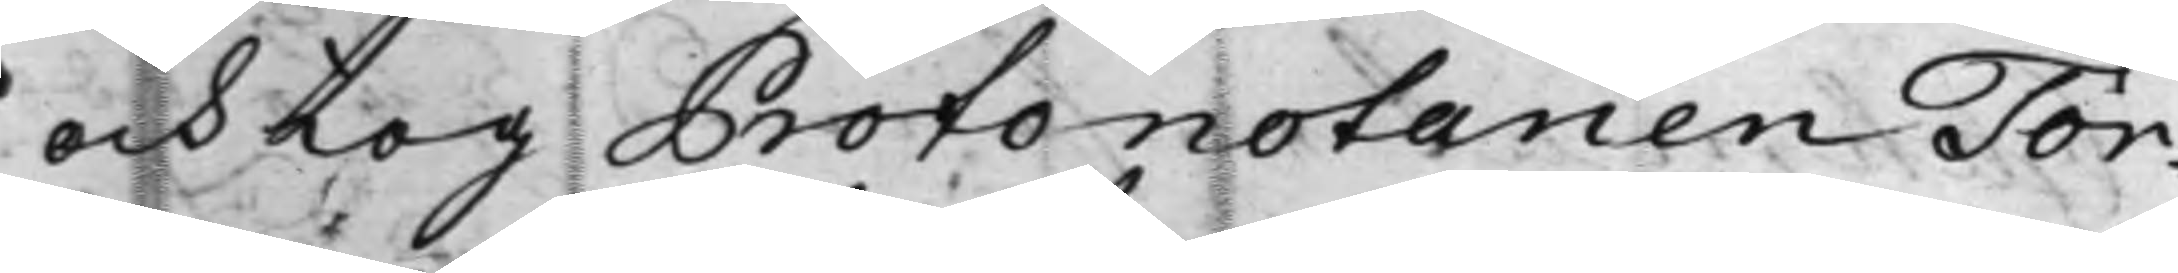och tog Protonotarien Tör¬
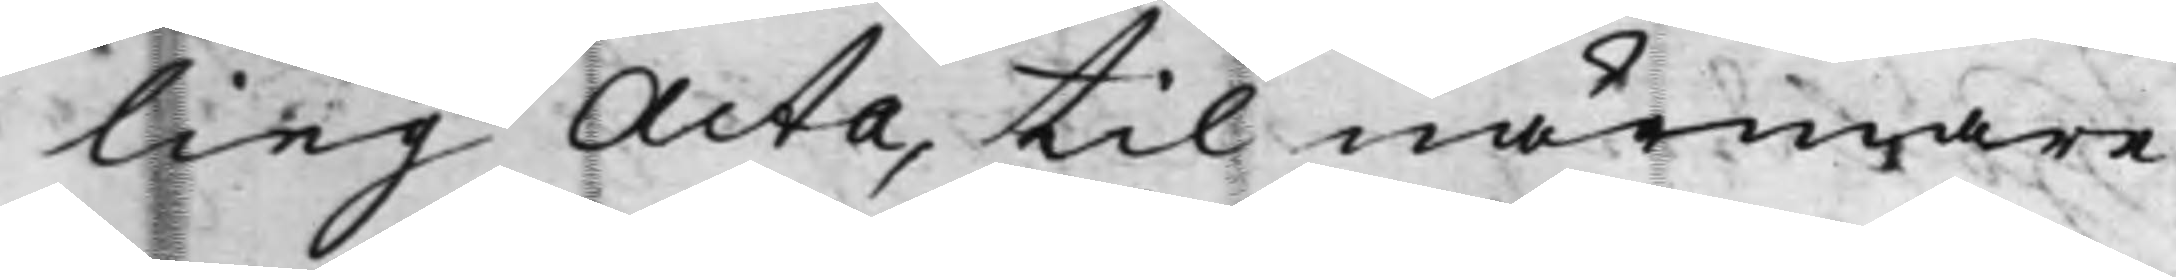ling Acta, til närmare
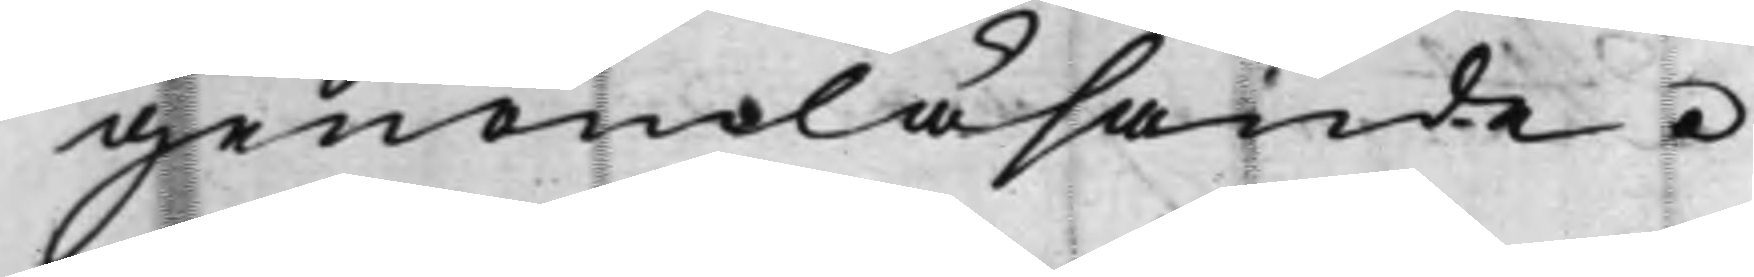genomläsande.
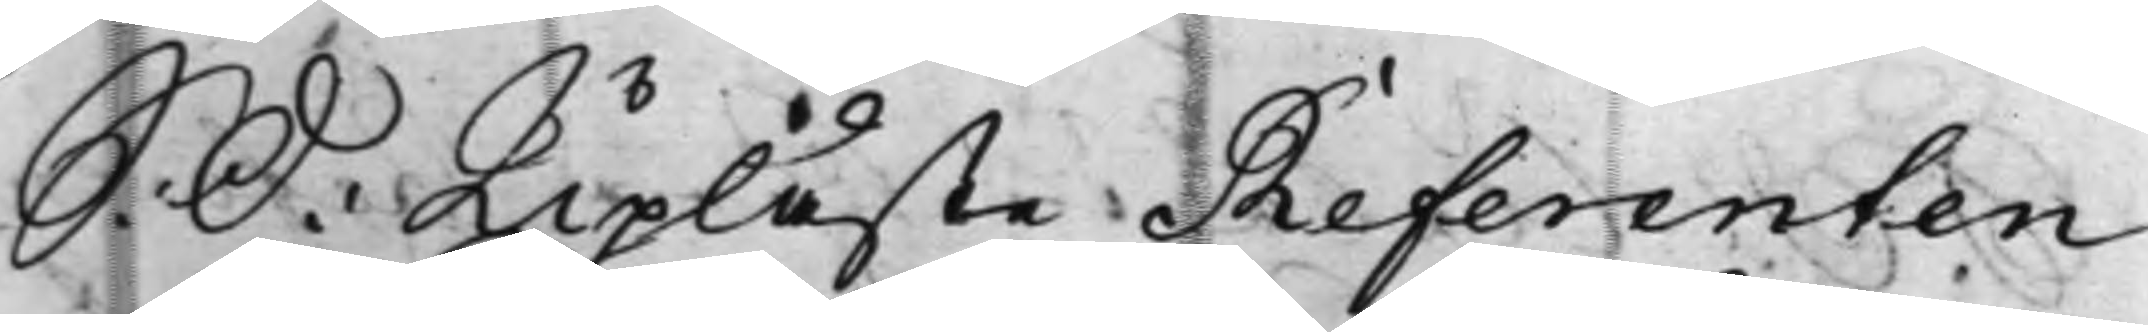S: D: Upläste Referenten
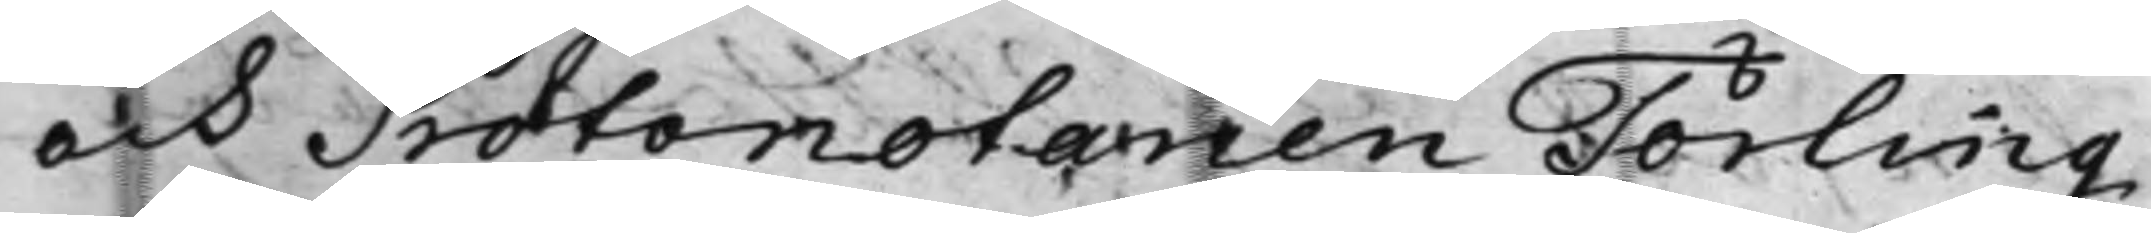och Protonotarien Törling
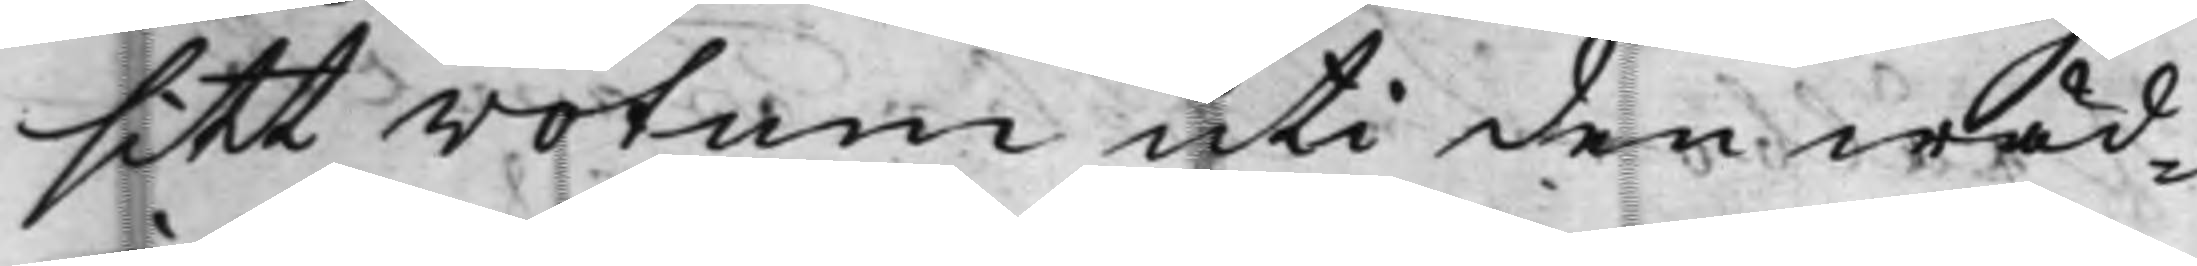sitt votum uti den wäd¬
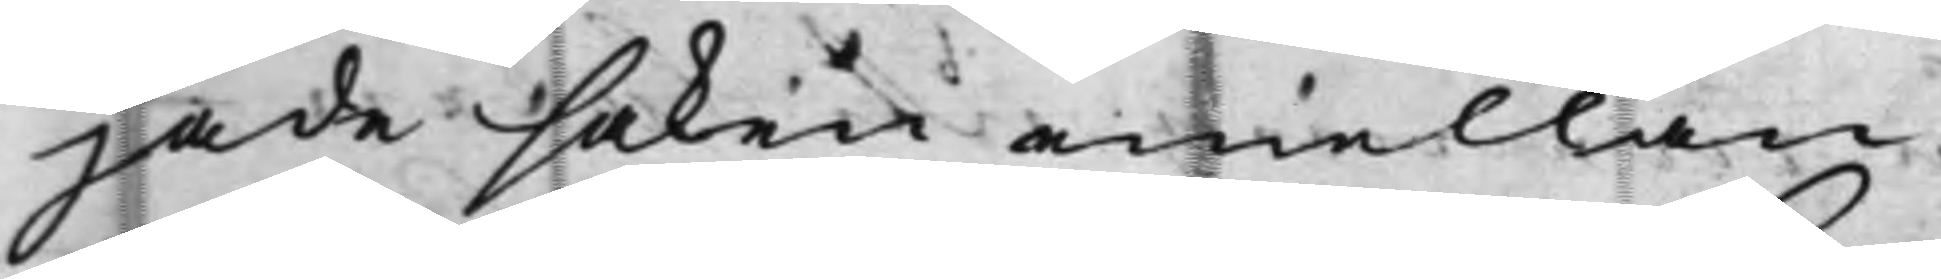jade saken emellan
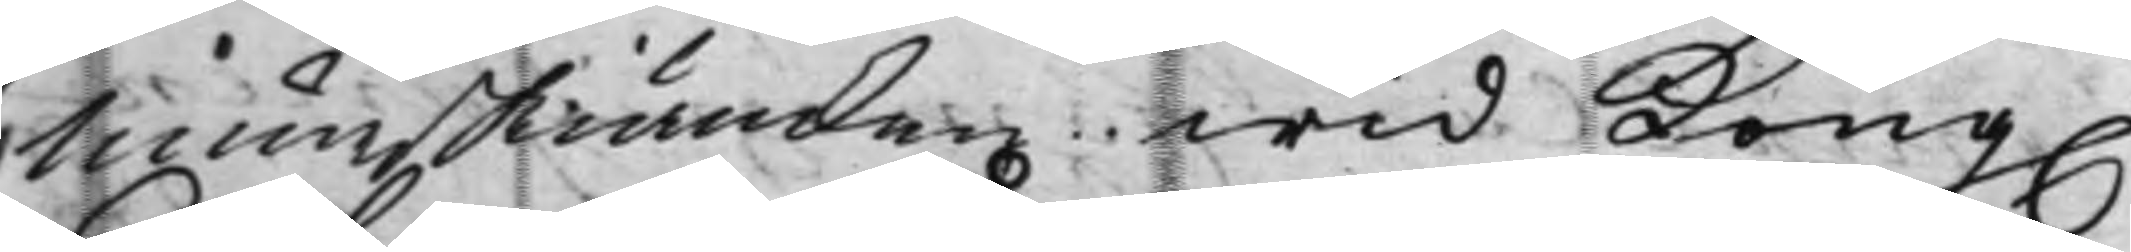Munskiänken wid Kong.
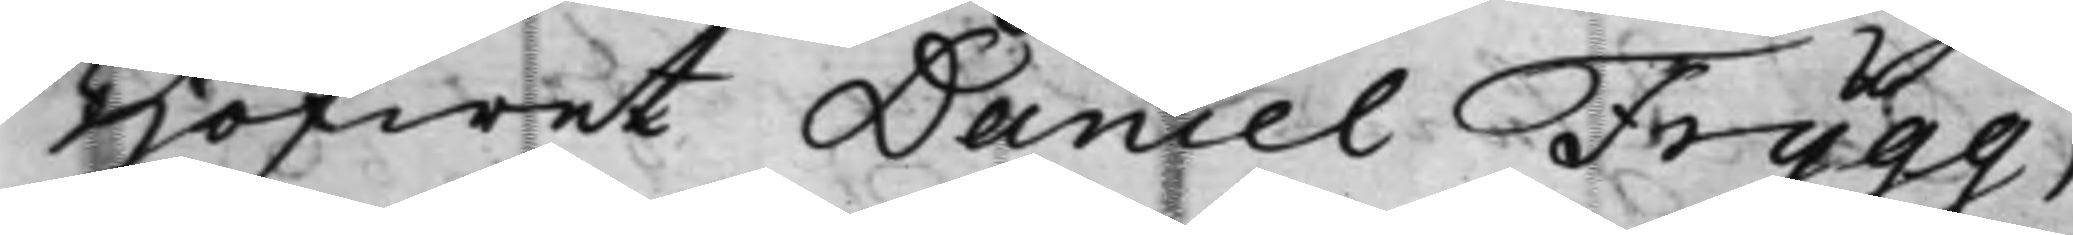Hofwet Daniel Frygg,
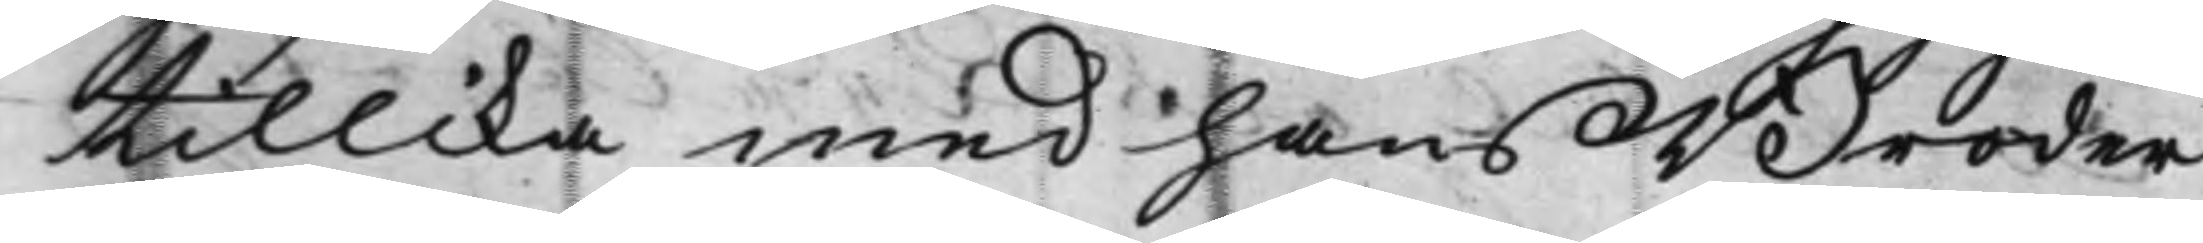tillika med hans Broder
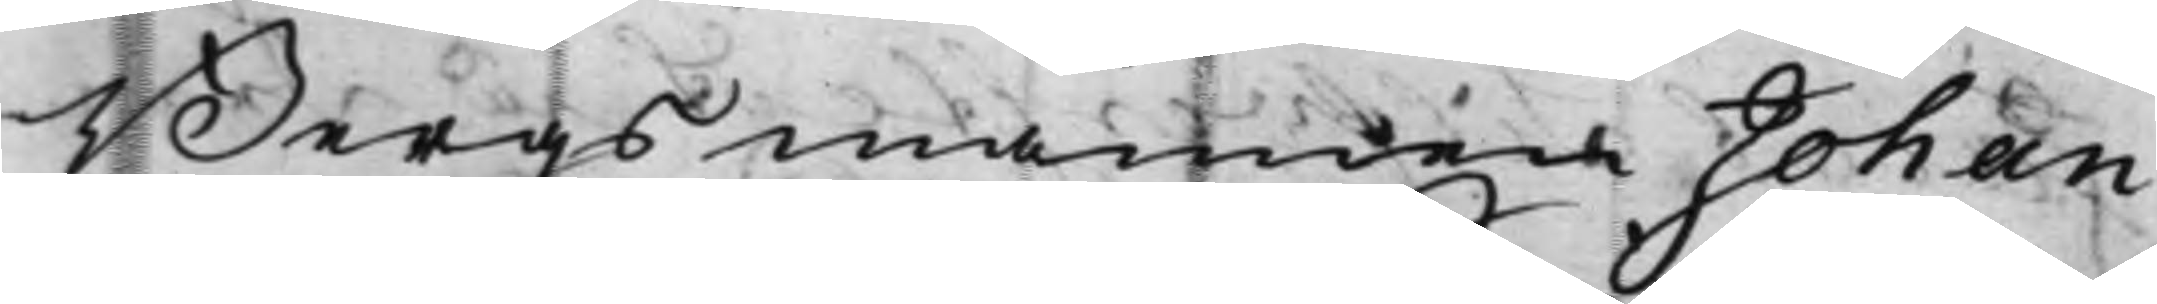Bergsmannen Johan
